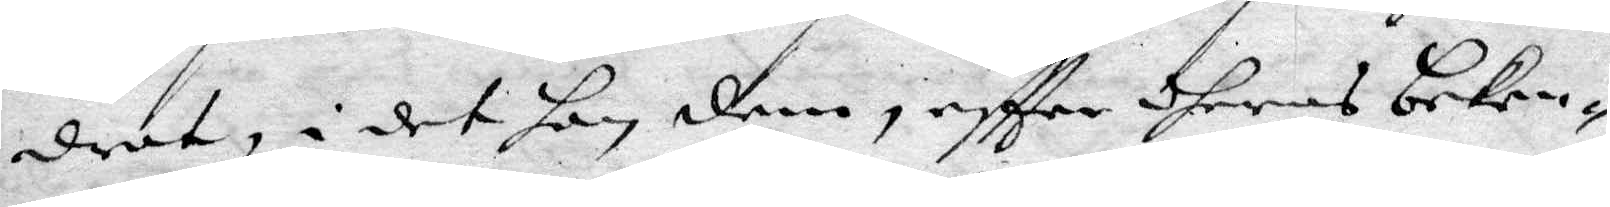drat, i det hon dem, effter dheras beken¬
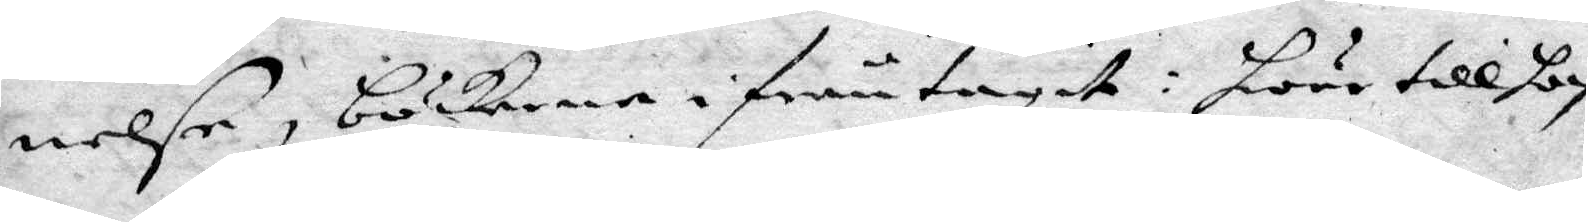nelse, böckerne ifrån tagit: hwar till hon
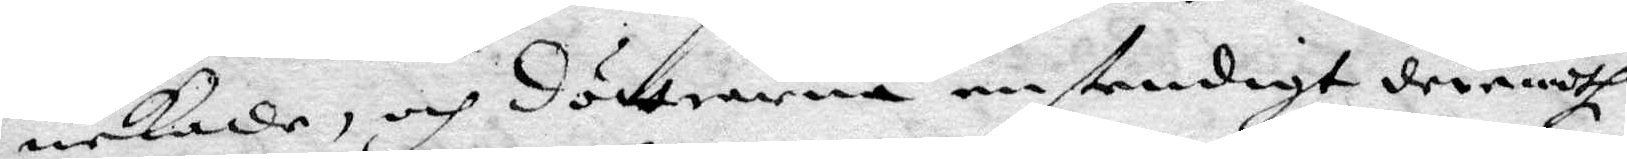nekade, och döttrarna enstendigt deremoth
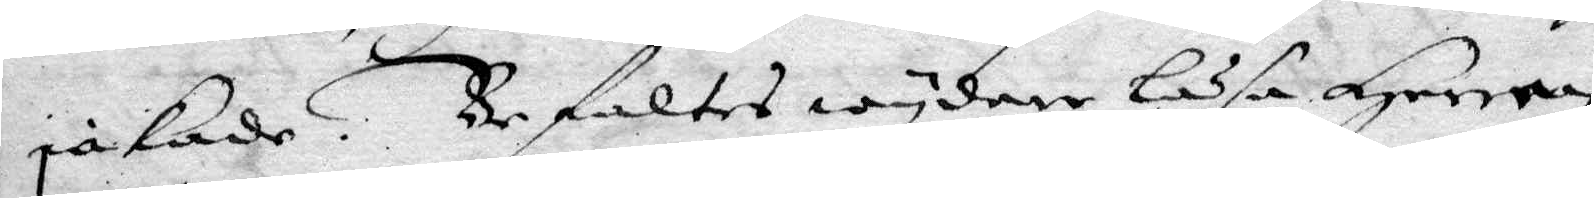jakade. Befaltes wydare Läsa Herren
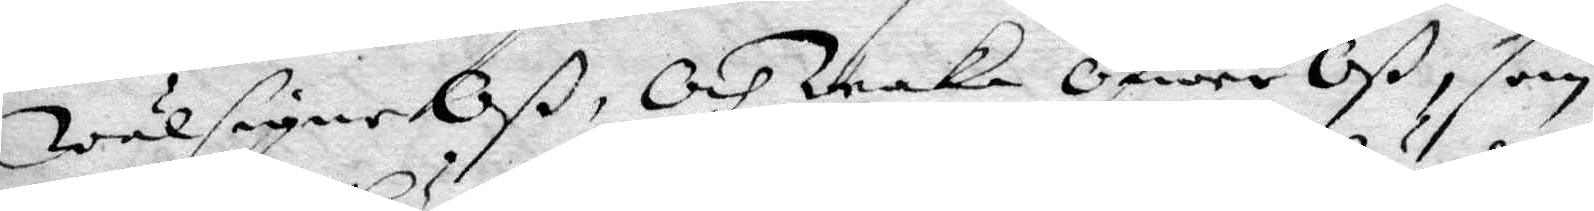wälsigne Oß, Och waka öfwer Oß, som
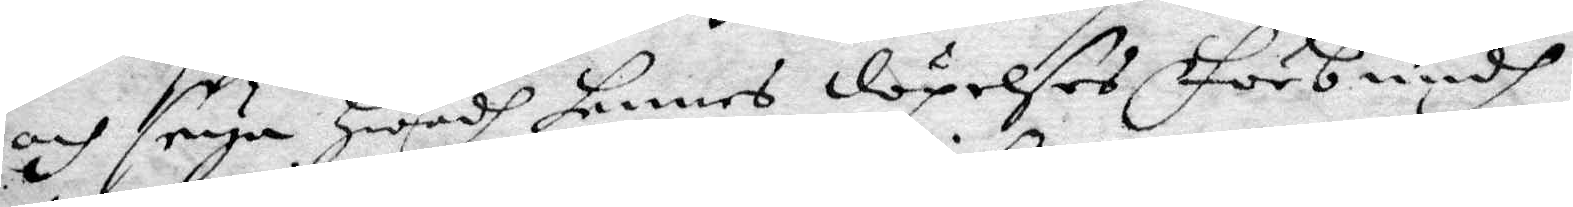och seya hwadh hennes döpelses Förbundh
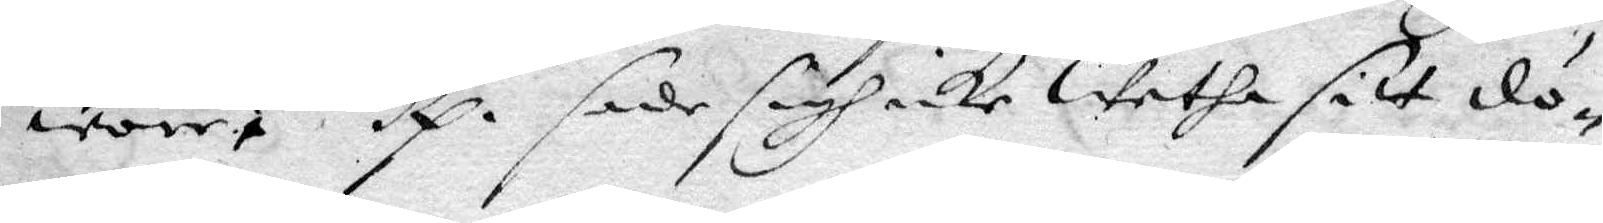wore? Rp. sade sigh icke wetha sitt dö¬
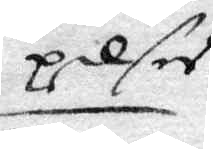pelser
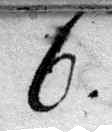6.
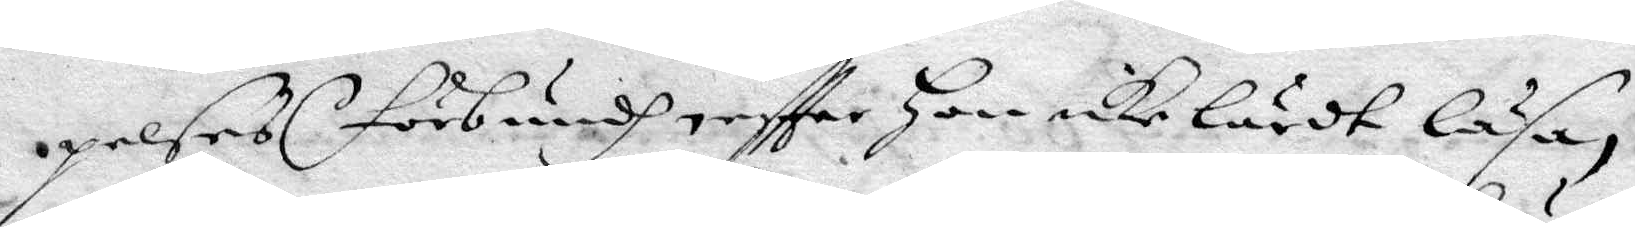pelses förbundh effter Hon icke lärdt läsa,
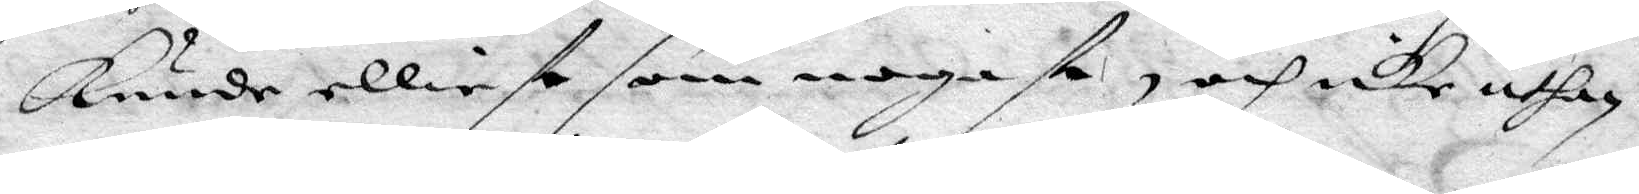kunde elliest som nogast, och icke uthan
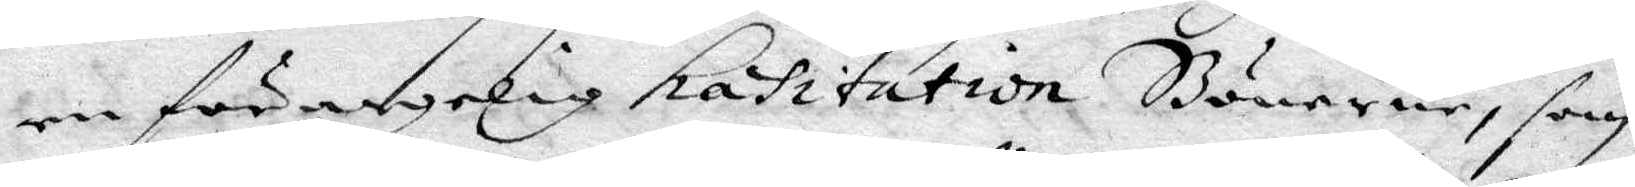en förargelig hasitation Bönerne, som
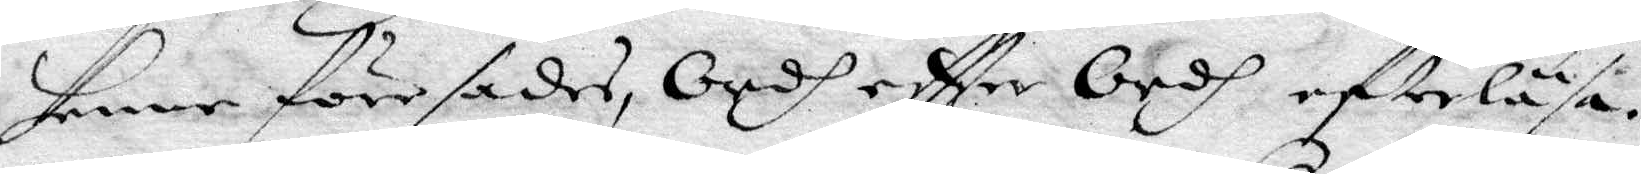henne före sades, Ordh eftter Ordh efterläsa.
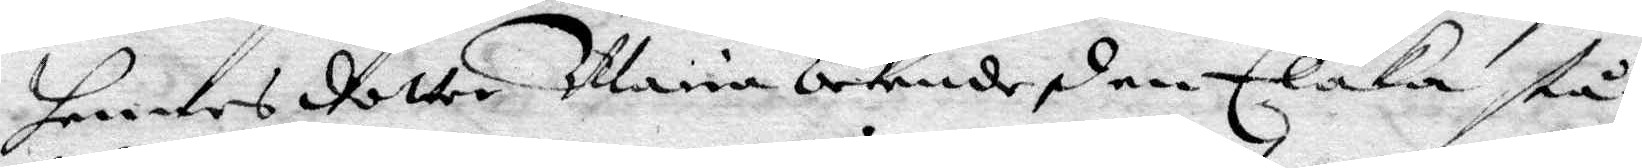hennes dotter Maria bekende, den Elaka stå
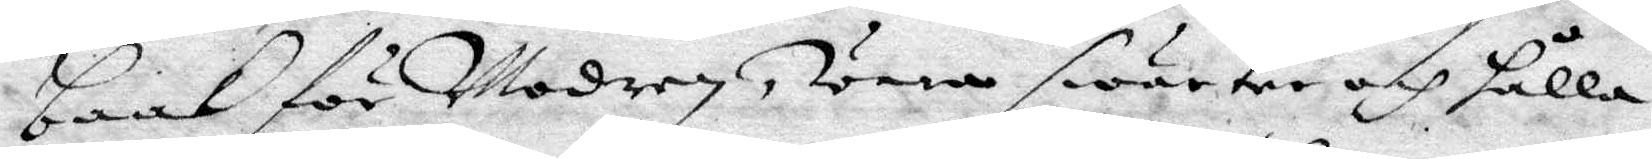baak för Modren, wara swarter och hålla
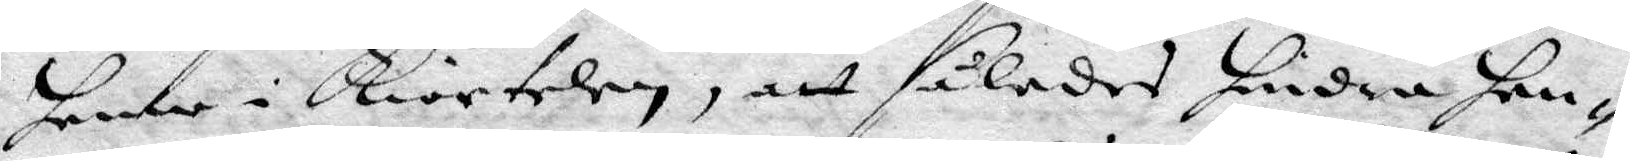henne i Kiortelen, att således hindra hen¬
